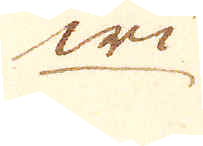wi-
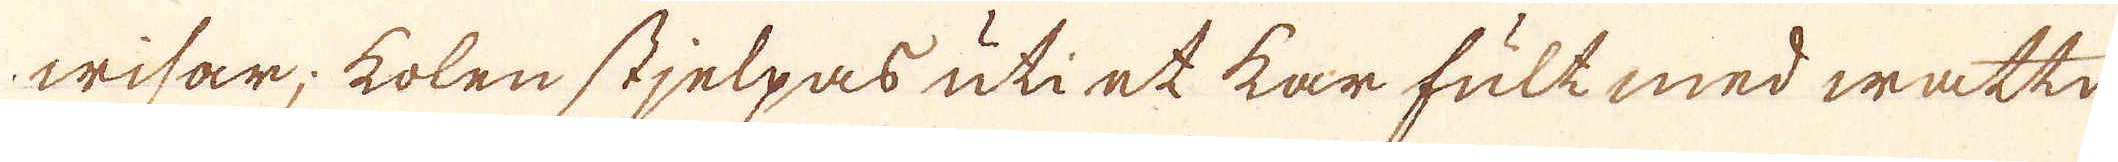wisar; kolen stjelpas uti et kar fult med wattn,
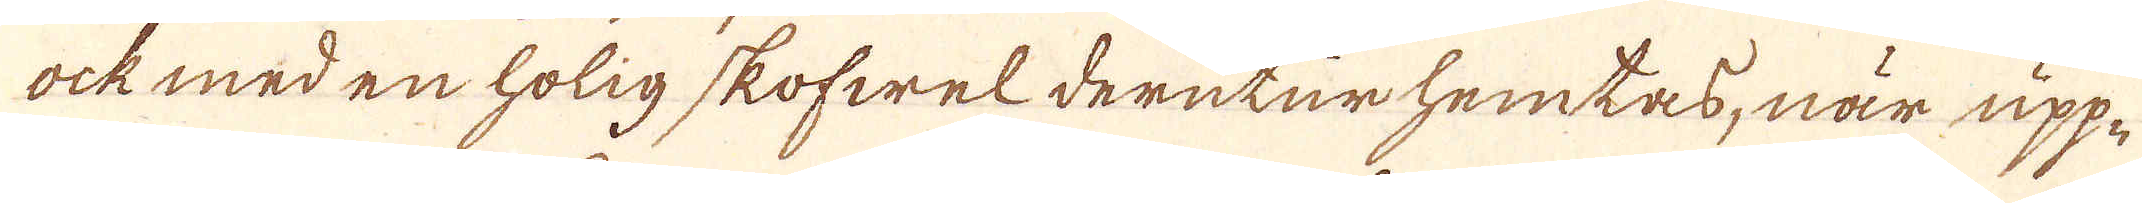ock med en holig skofwel derutur hemtas, när upp-
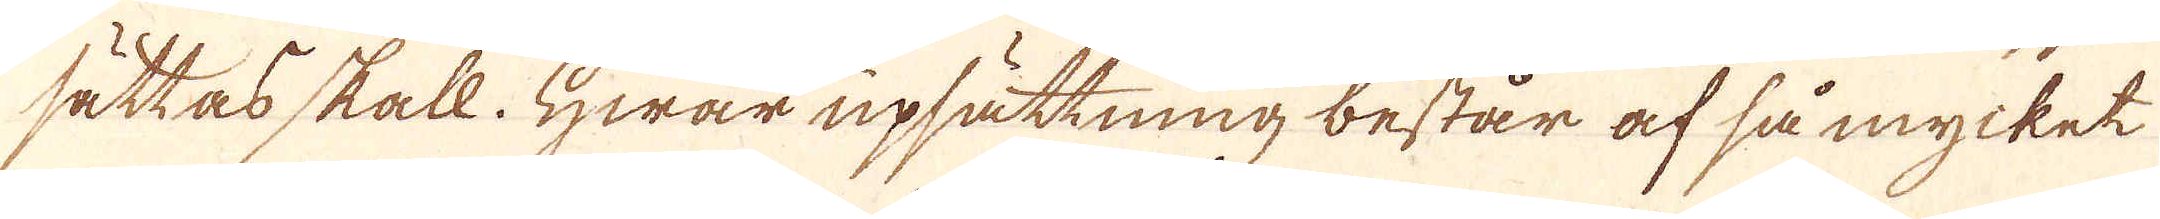sättas skall. Hwar upsättning består af så mycket
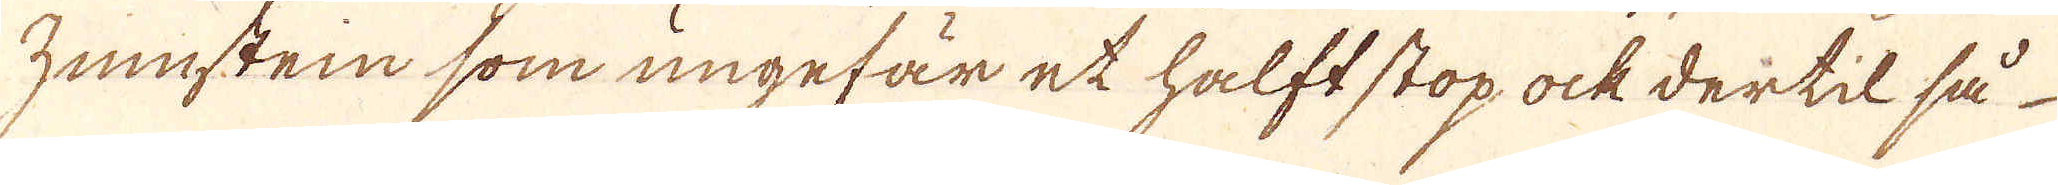Zunnstein som ungefär et halft stop ock dertil så
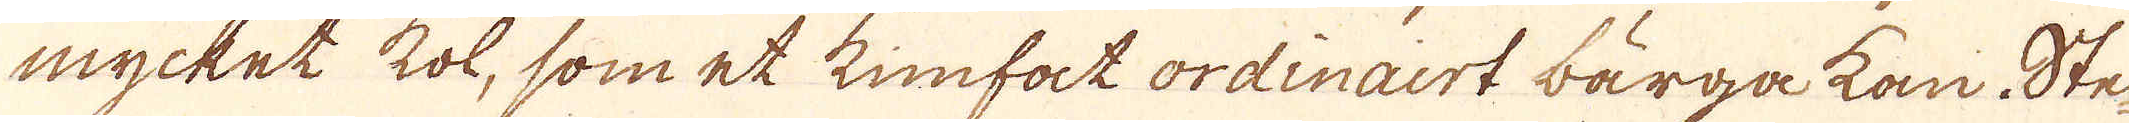mycket kol, som et kimfat ordinairt bärga kan. Ste
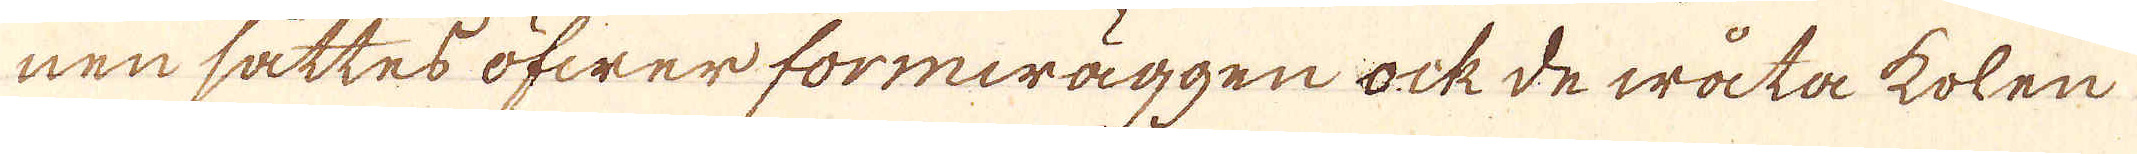nen sättes öfwer formwäggen ock de wåta kolen
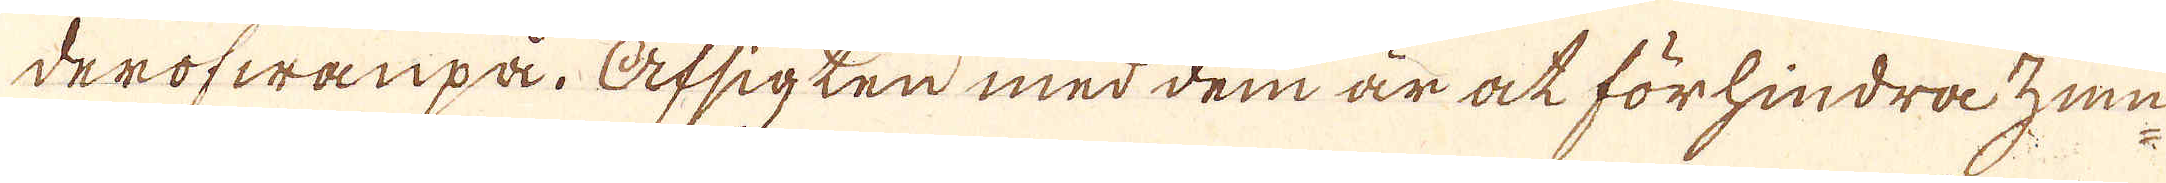derofwanpå. Afsigten med dem är at förhindra zun-
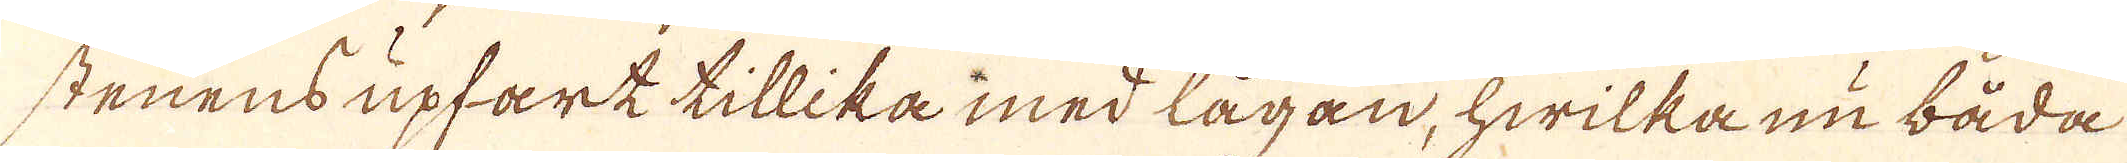stenens upfart tillika med lågan, hwilka nu båda
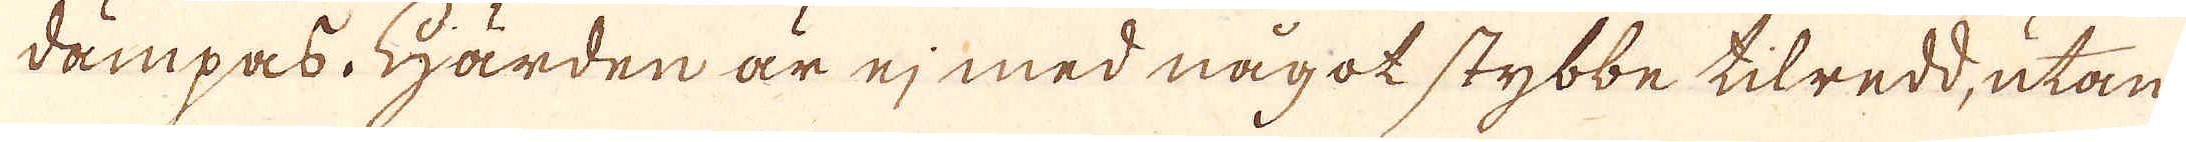dämpas. Härden är ej med något stybbe tilredd, utan
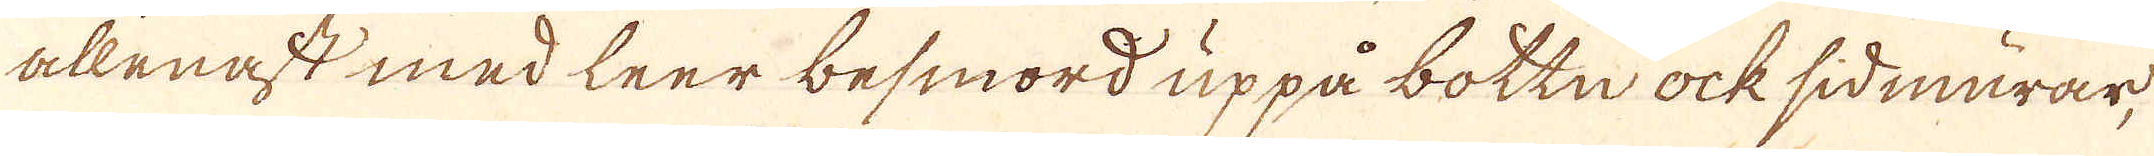allenast med leer besmord uppå bottn ock sidmurar,
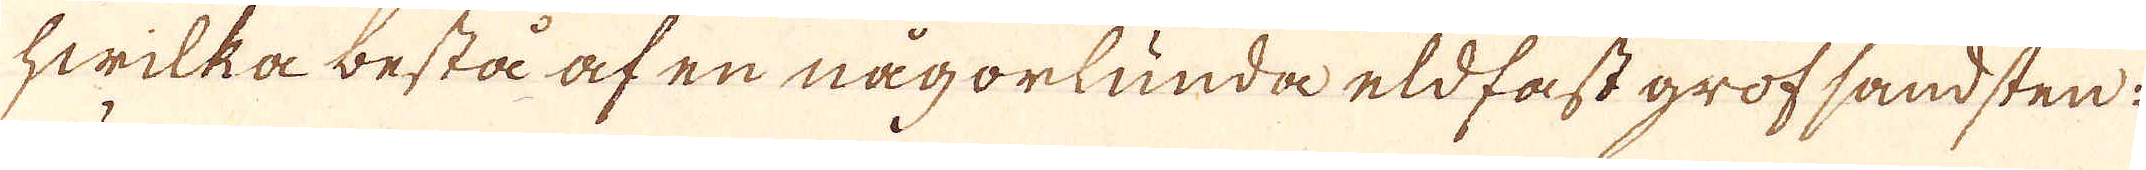hwilka bestå af en någorlunda eldfast grofsandsten.
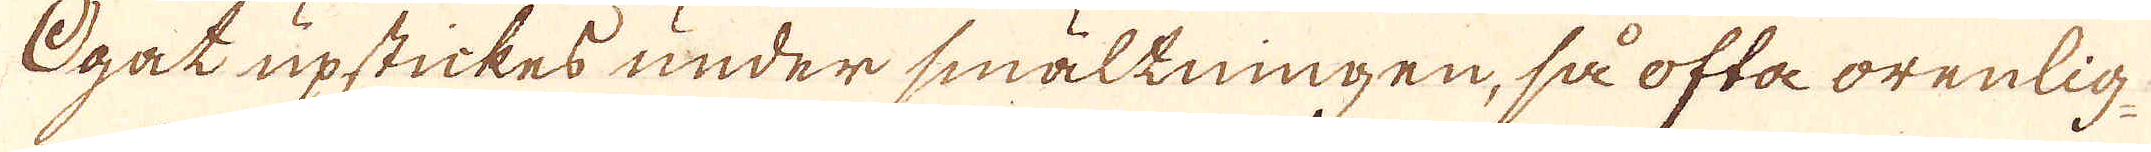Ogat upstickes under smältningen, så ofta orenlig-
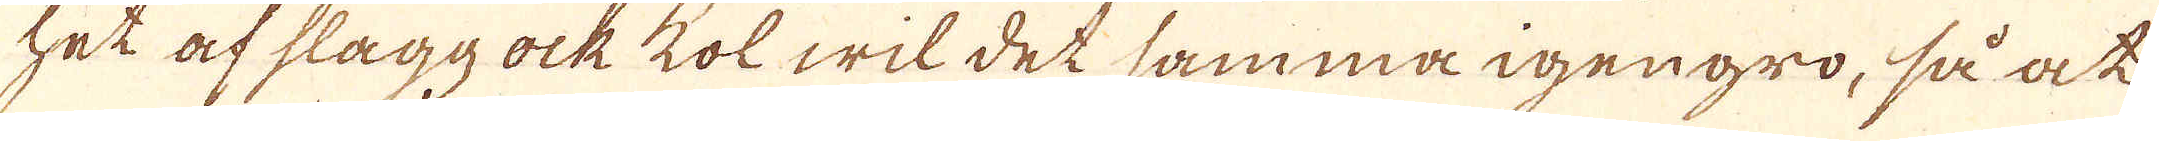het af slagg ock kol wil det samma igengro, så at
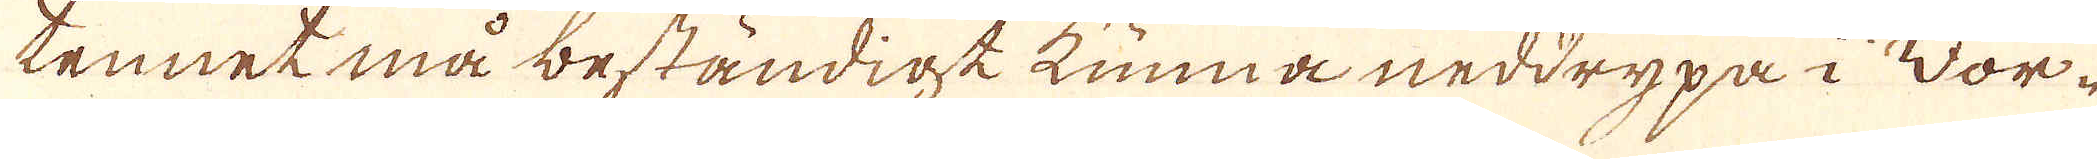tennet må beständigt kunna neddrypa i Vor-
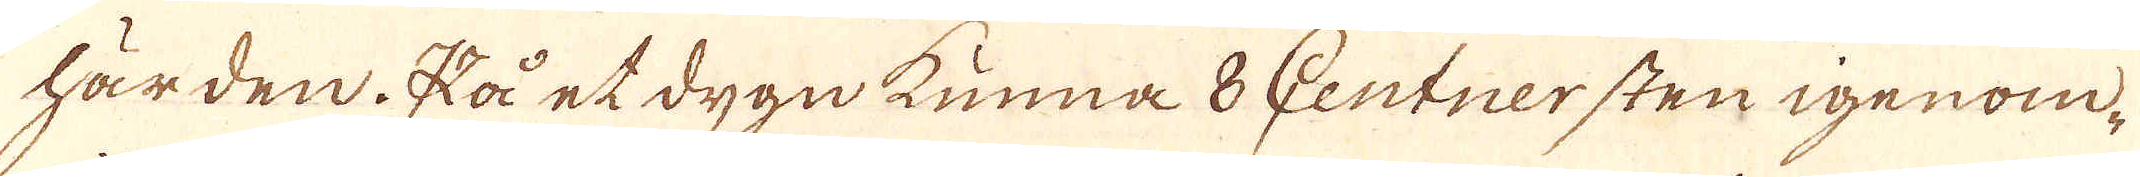härden. På et dygn kunna 8 Centnersten igenom,
